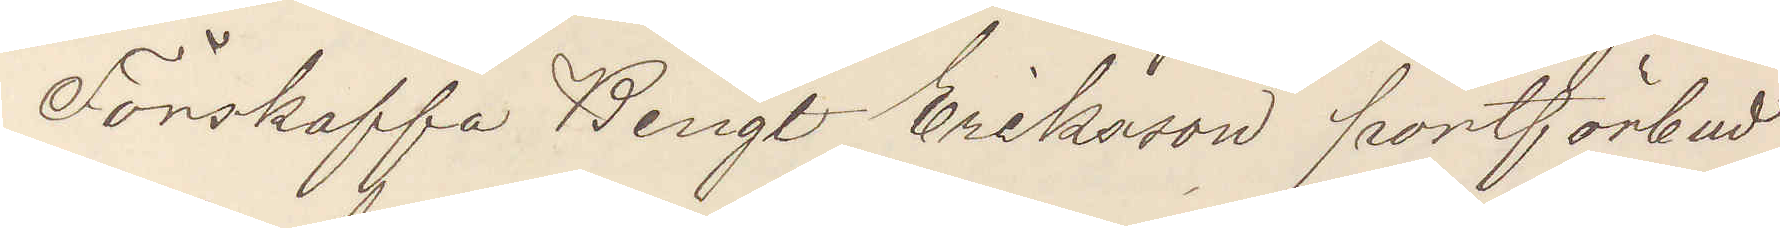Förskaffa Bengt Eriksson portförbud
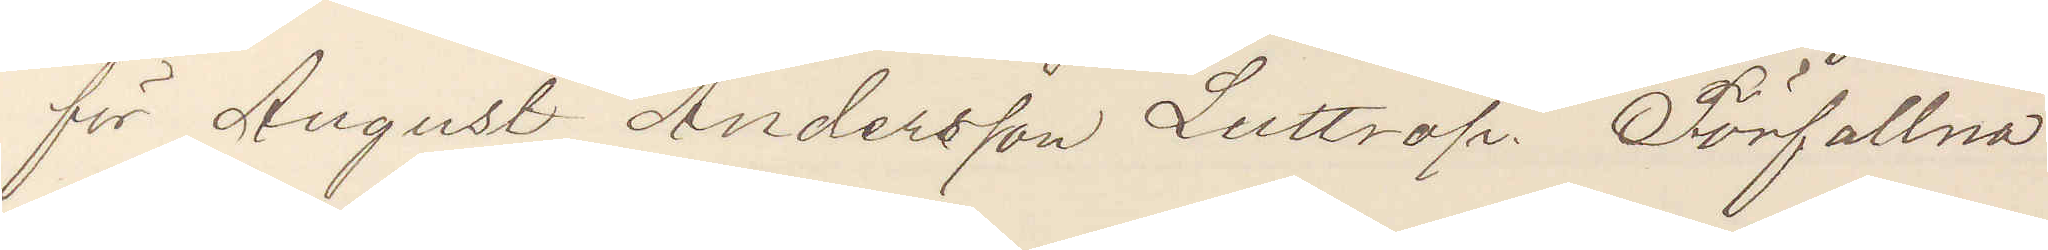för August Andersson Luttrop. Förfallna
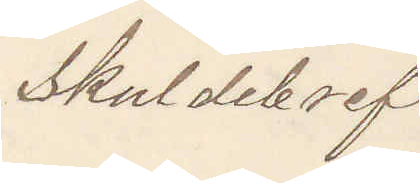skuldebref
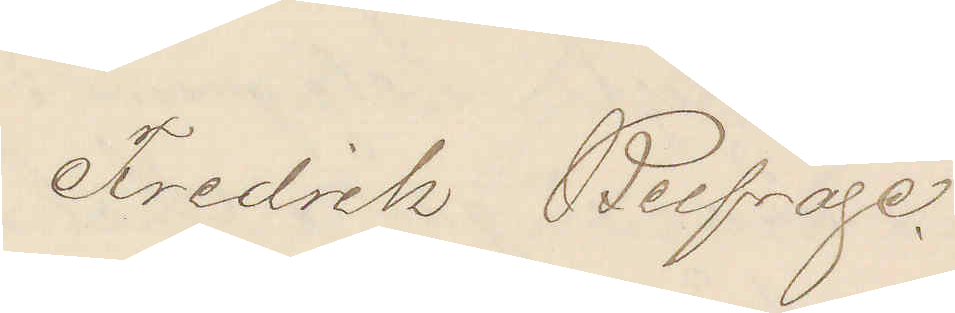Fredrik Belfrage.
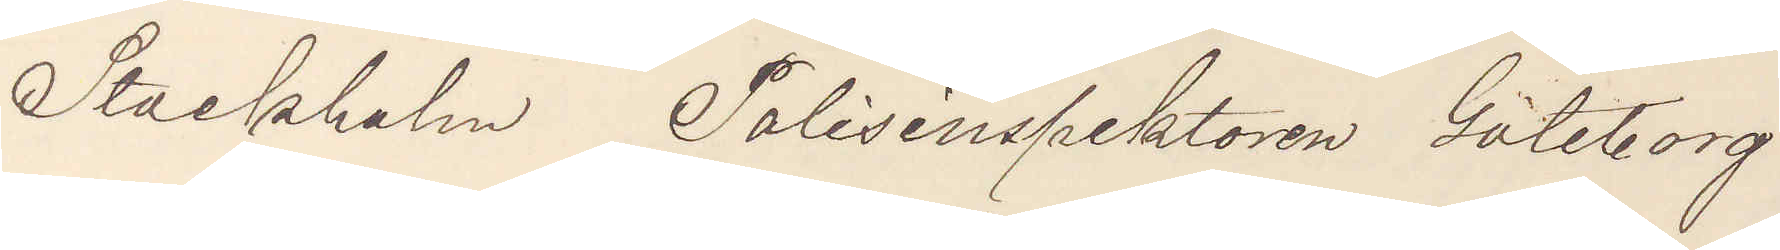Stockholm  Polisinspektoren Göteborg
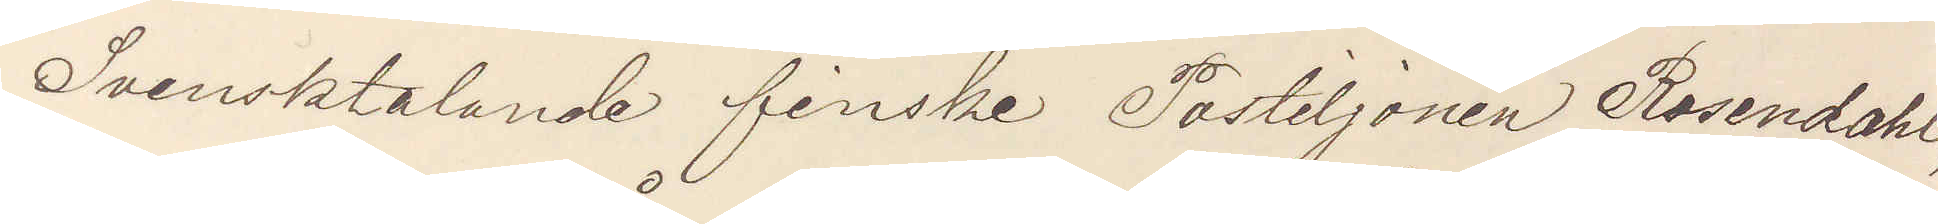Svensktalande finske Postiljonen Rosendahl,
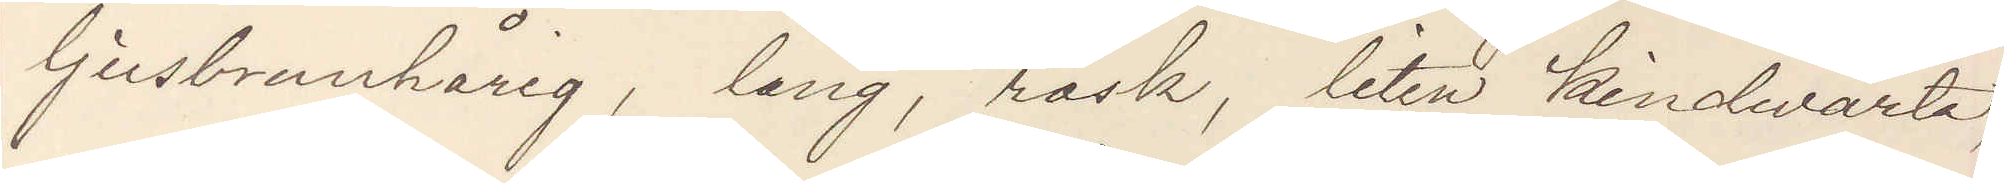ljusbrunhårig, lång, rask, liten kindvårta,
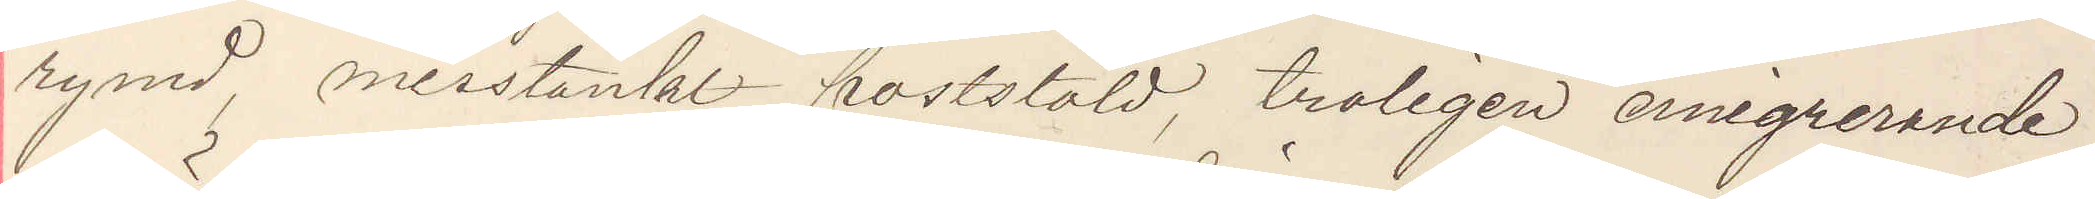rymd, misstänkt poststöld, troligen emigrerande,
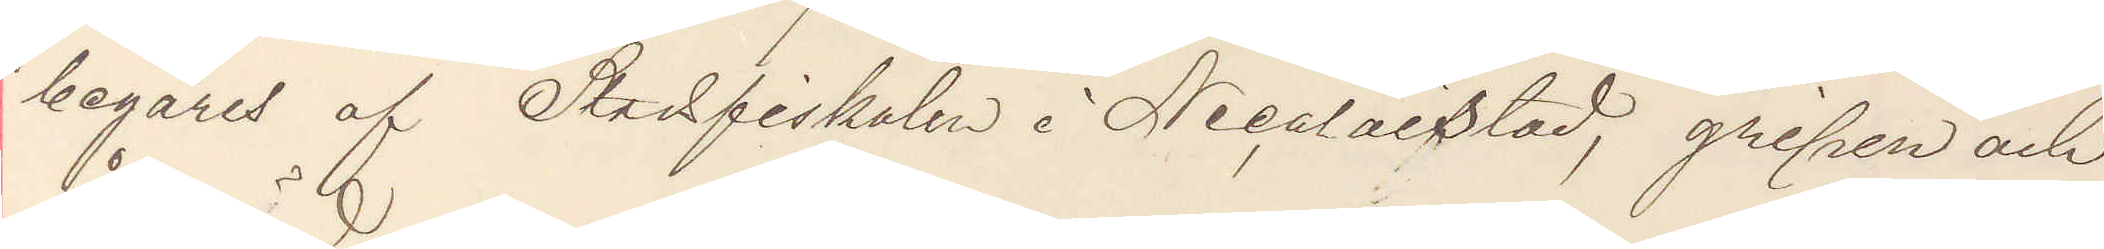begäres af Stadsfiskalen I Nicolaistad, gripen och
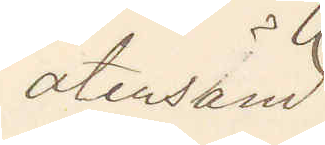återsänd
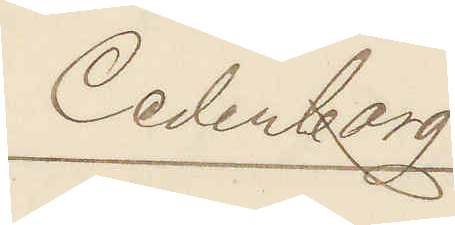Cederborg
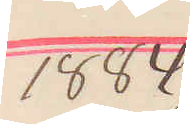1884
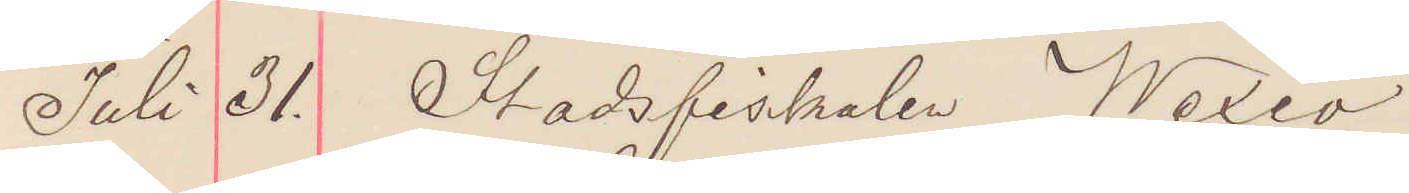Juli 31. Stadsfiskal Wexiö
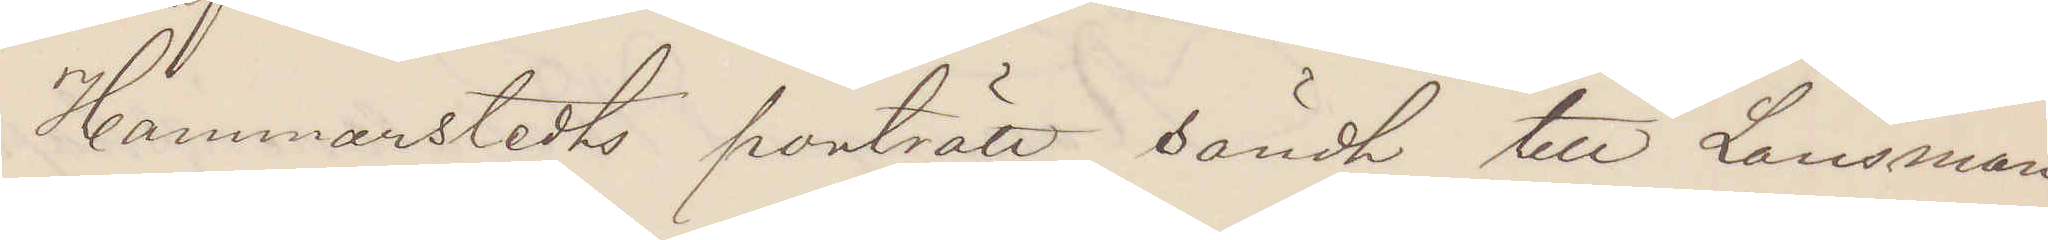Hammarstedts porträtt sändt till Länsman
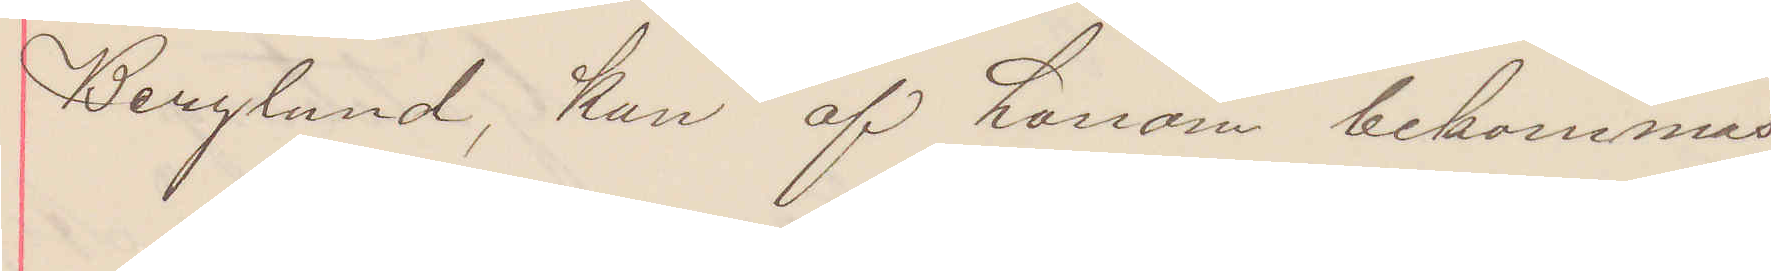Berglund, kan af honom bekommas.
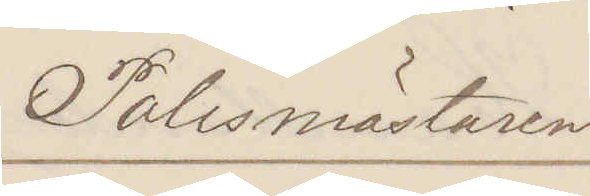Polismästaren.
